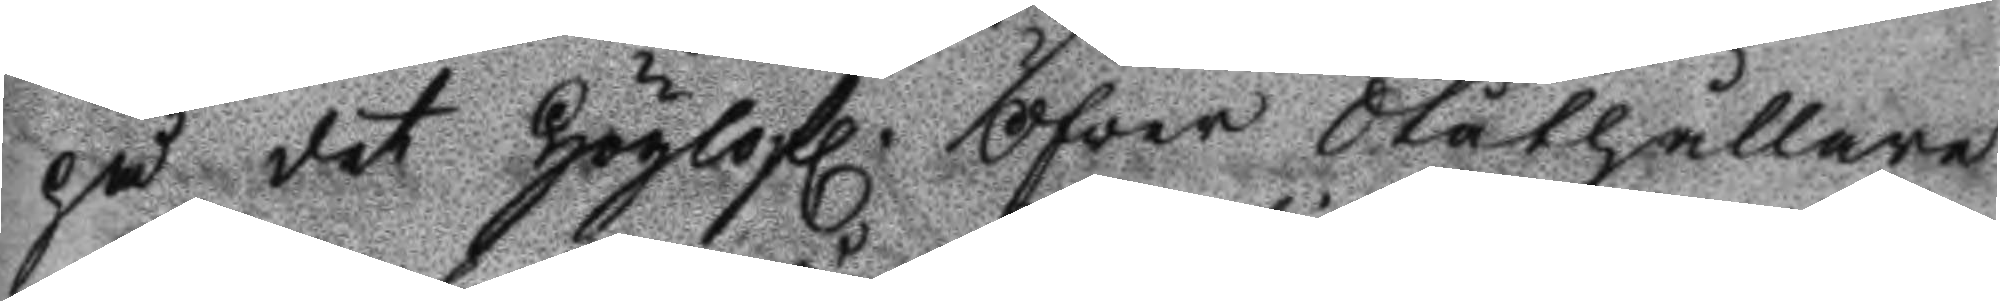på det Höglofl. Öfver Ståthållare
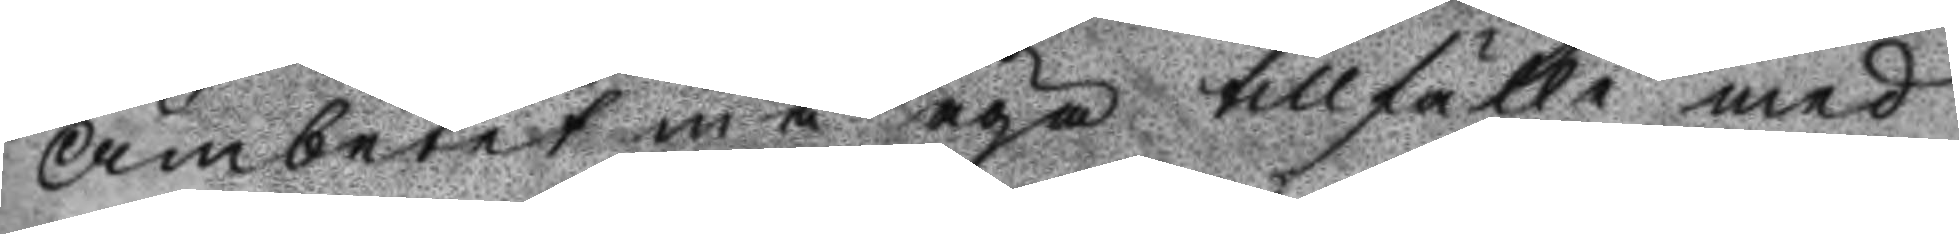Ämbetet må äga tillfälle med
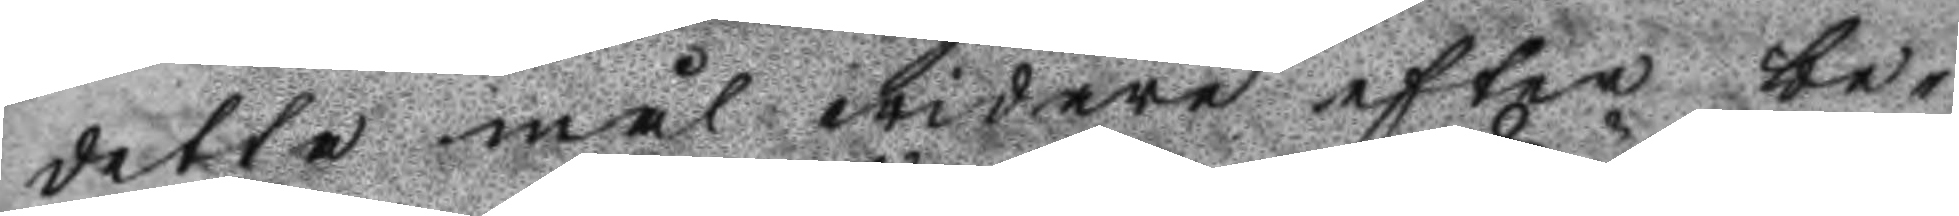detta mål widare efter be¬
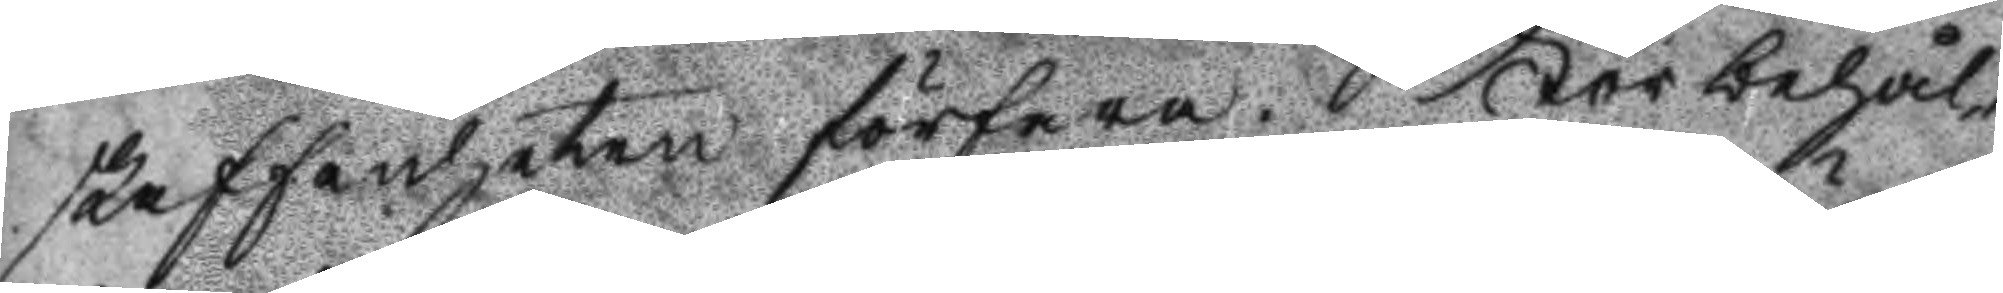kaffenheten förfara. För behål¬
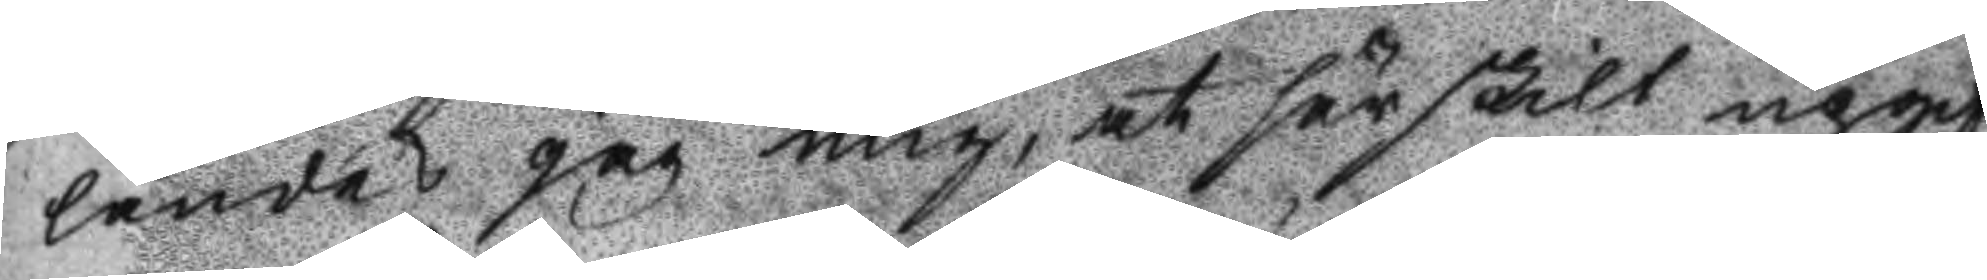lande jag mig, at särskilt upgif¬ 
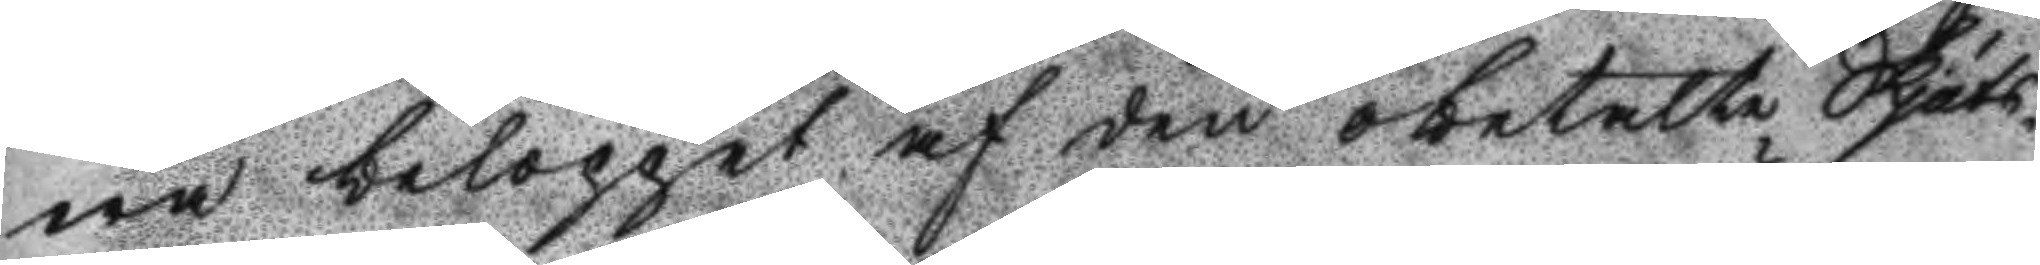wa beloppet af den obetalte Skjuts¬
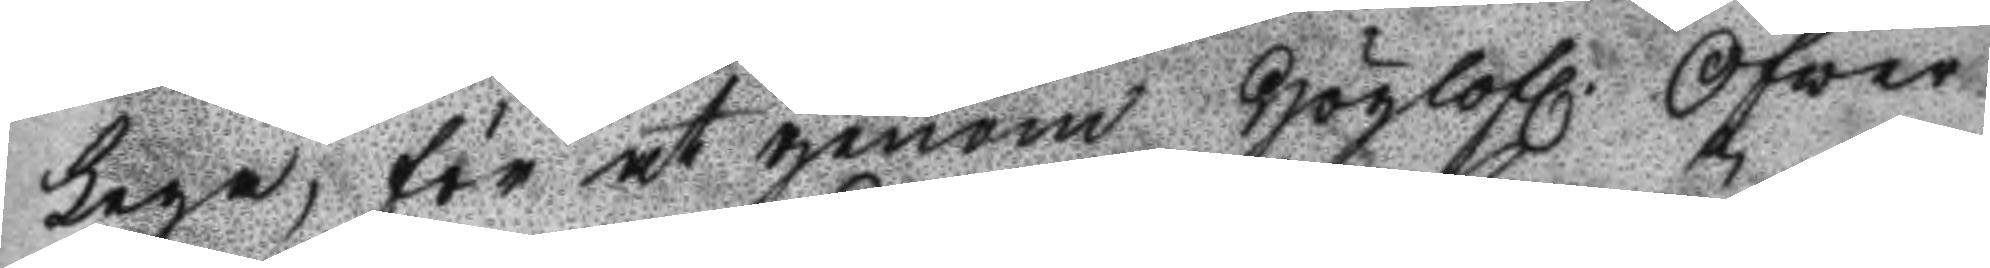Lega, för at genom Höglofl. Öfwer
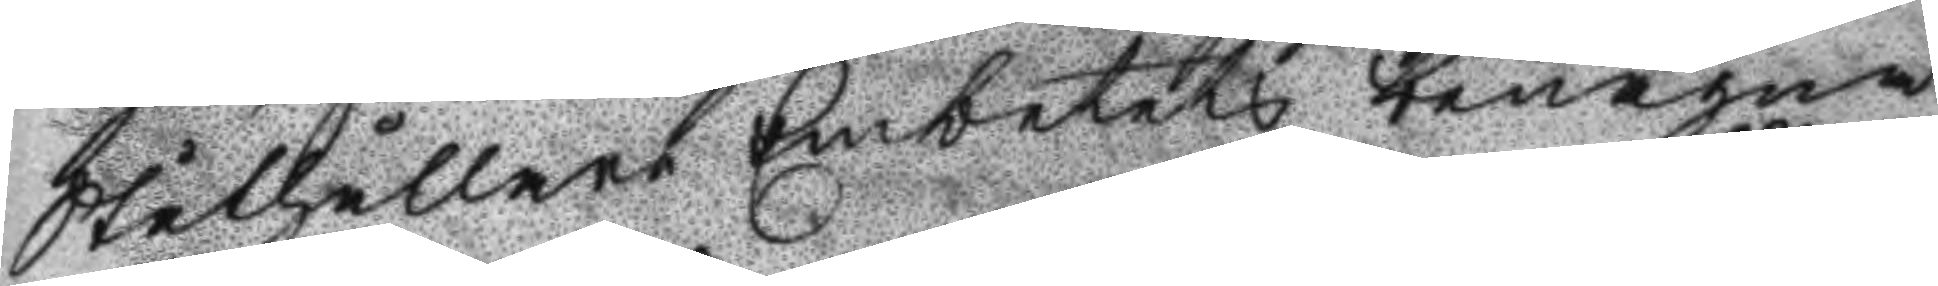Ståthållare Embetets benägna
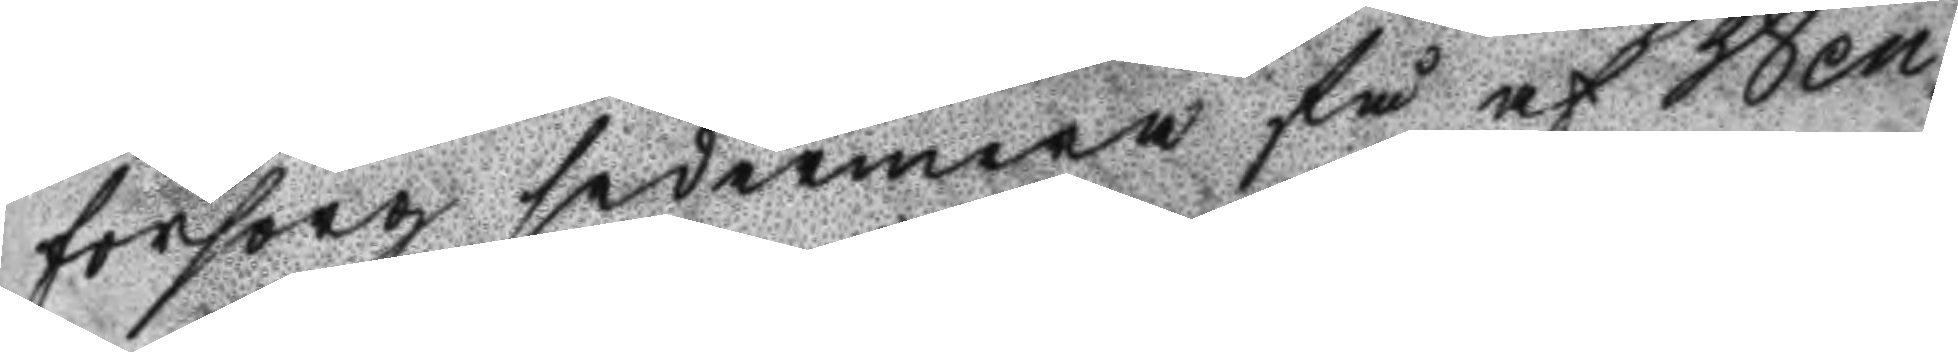försorg sedermera få af Wen¬
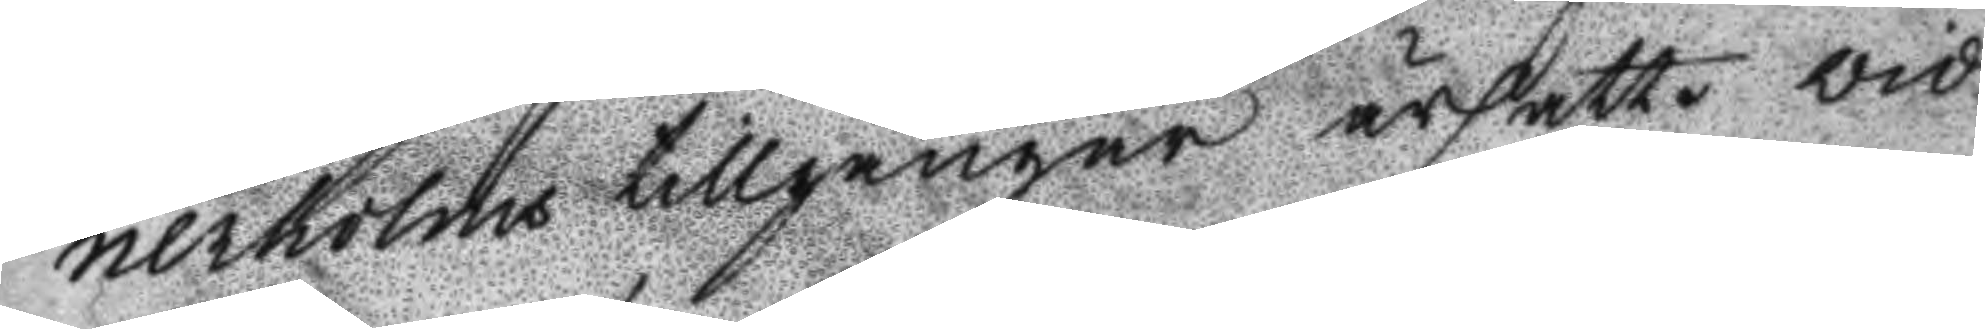nerholms tillgångar ärsatt. Vid
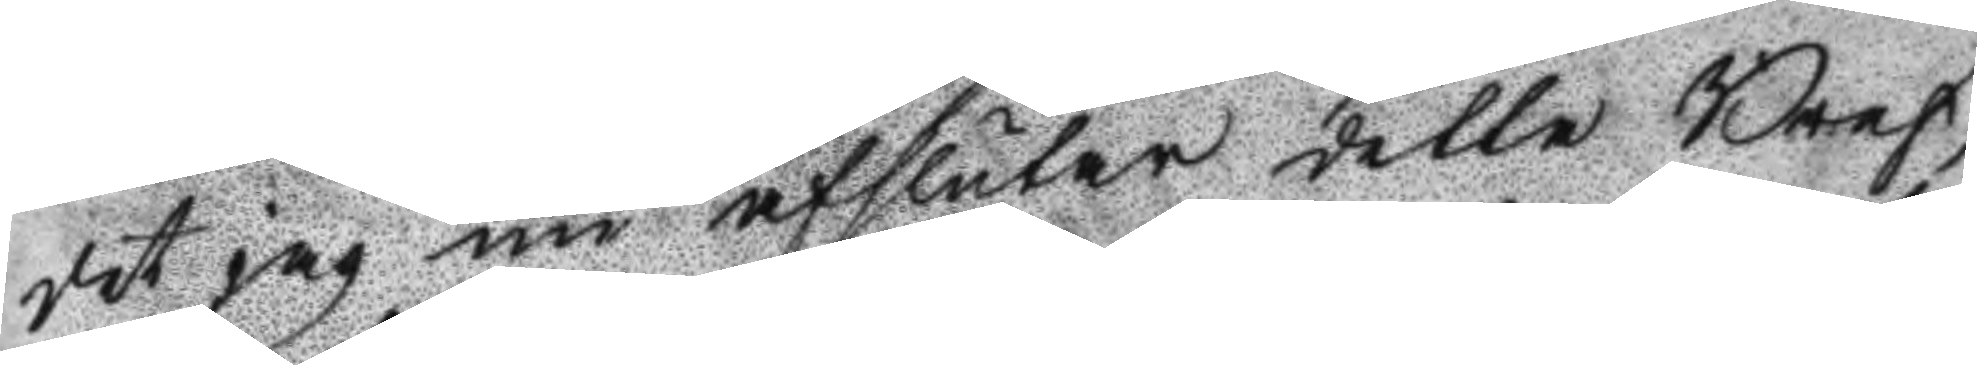det jag nu afslutar detta Bref,
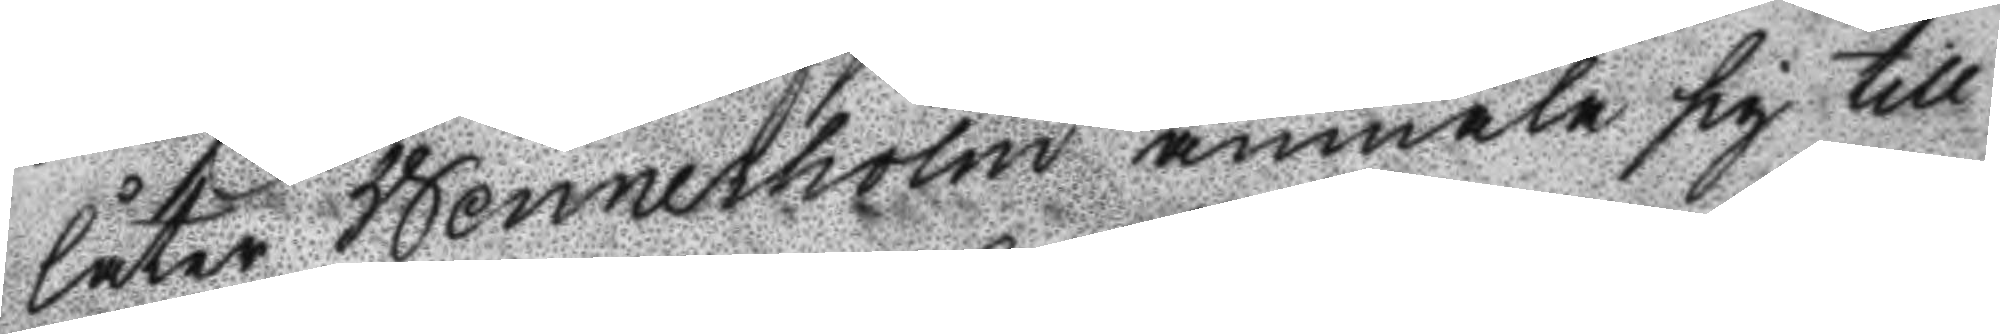låter Wennerholm anmäla sig till
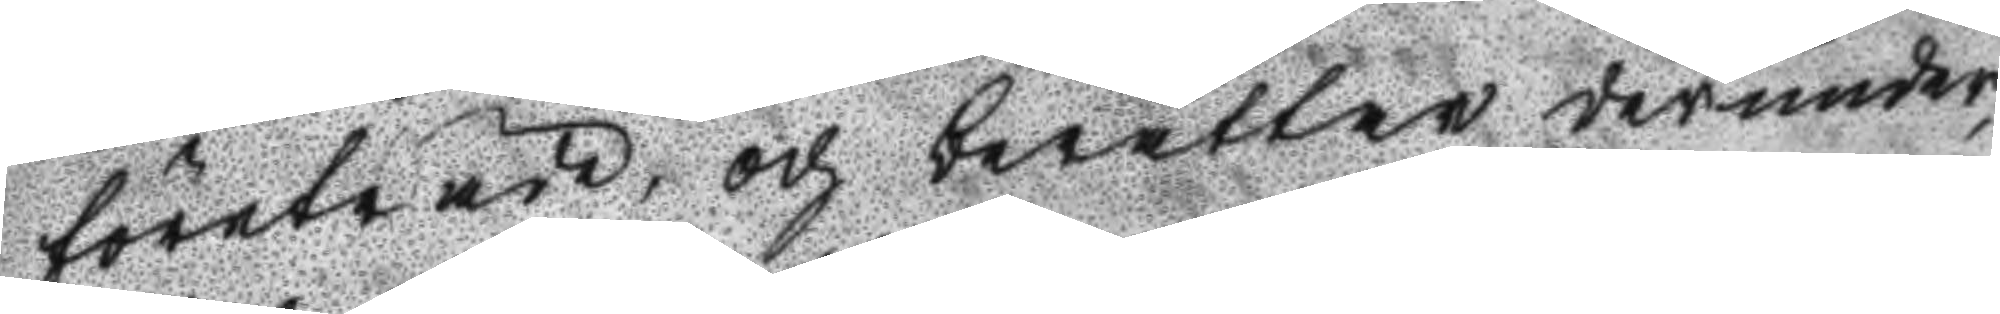företräde, och berättar derunder,
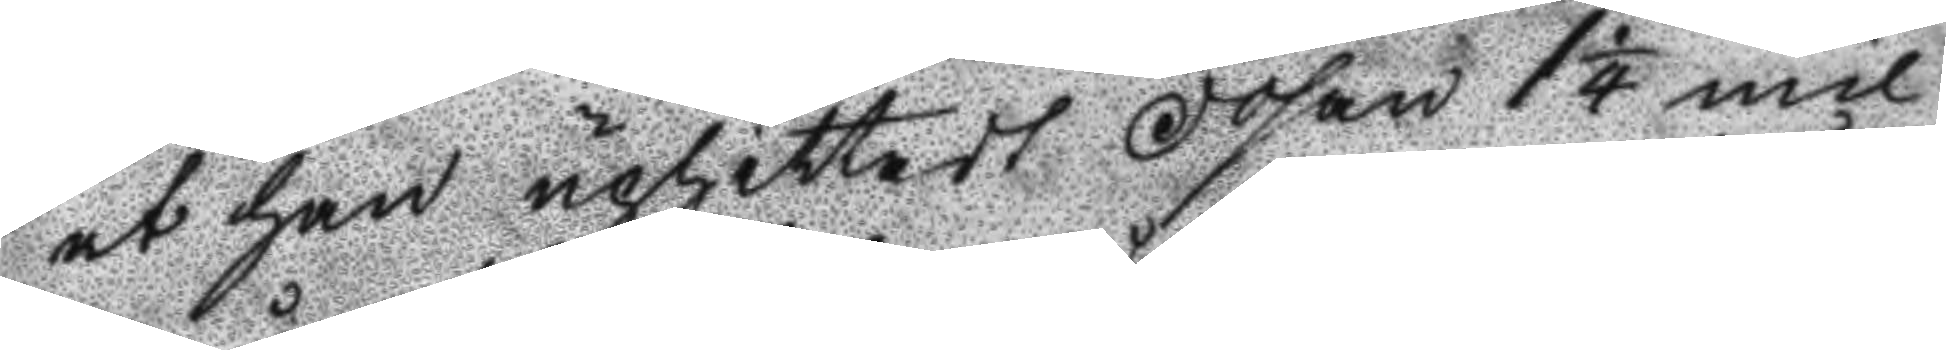at han upphittadt Dosan 1 1/4 mil
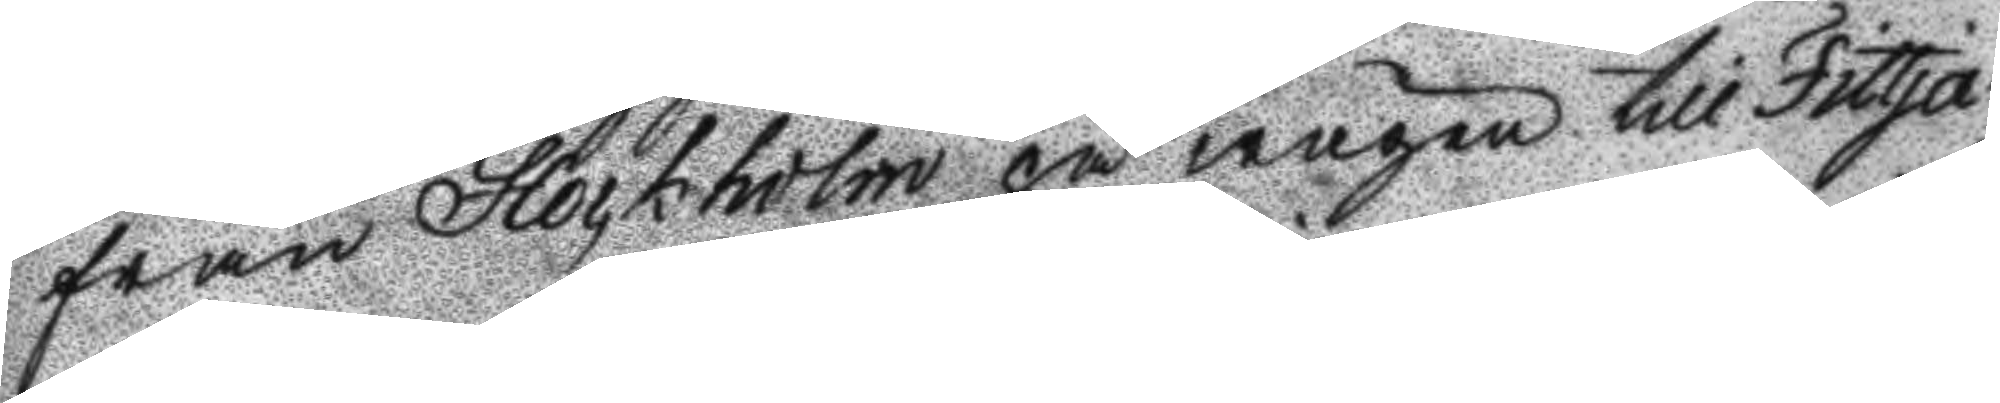från Stockholm på wägen till Fittja,
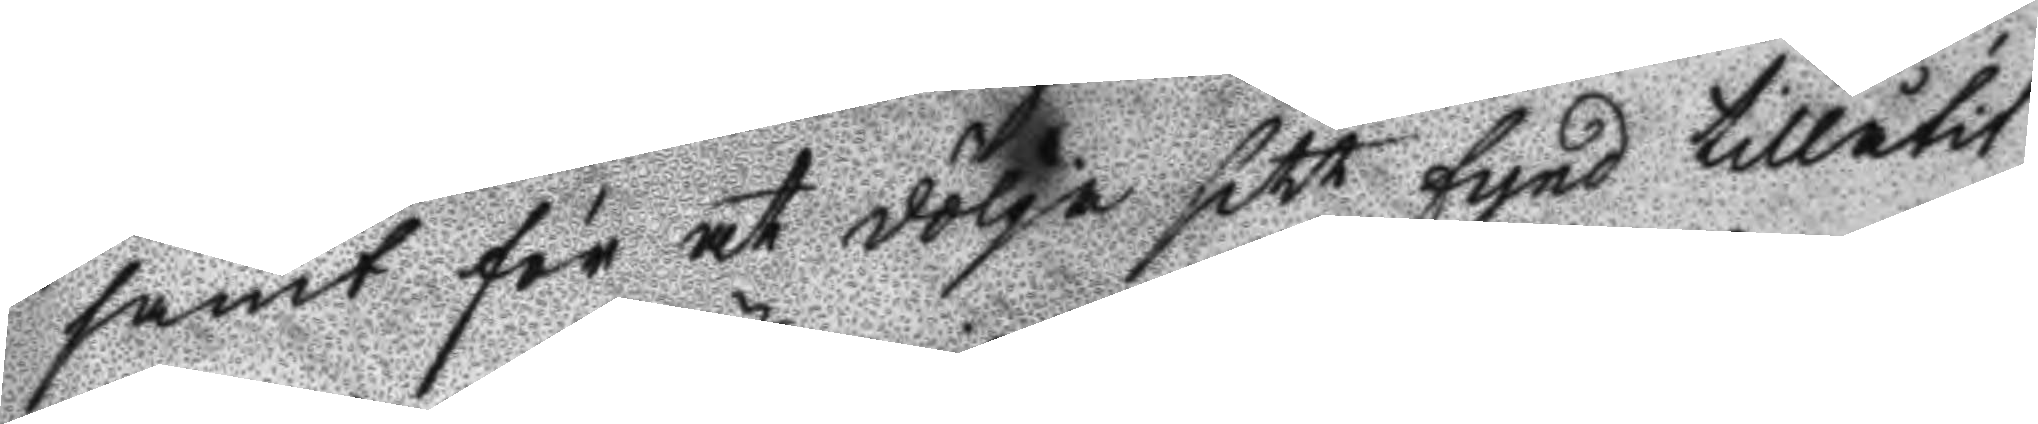samt för at dölja siff fynd tillåtit
